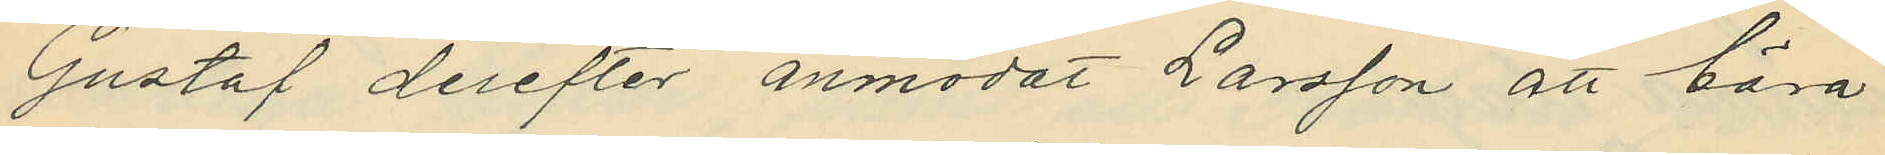Gustaf derefter anmodat Larsson att bära
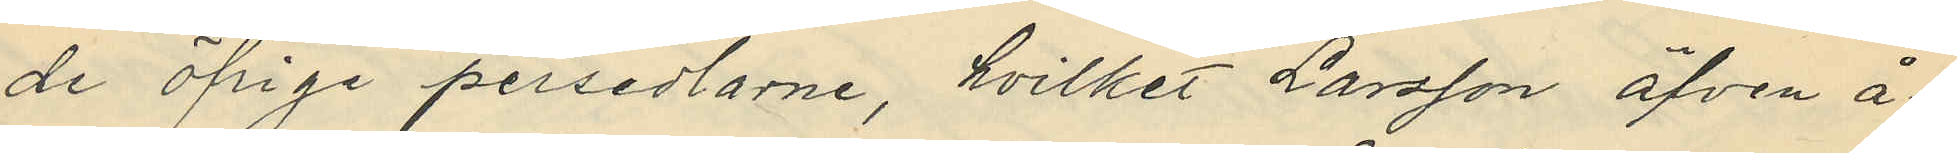de öfrige persedlarne, hvilket Larsson äfven å¬
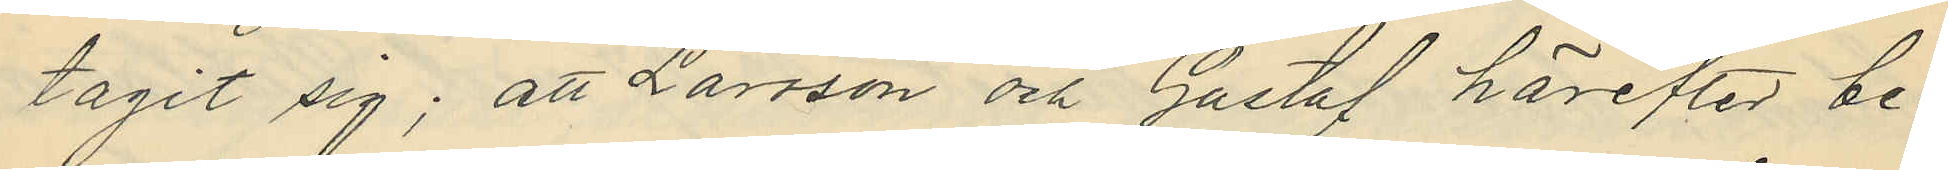tagit sig; att Larsson och Gustaf härefter be¬
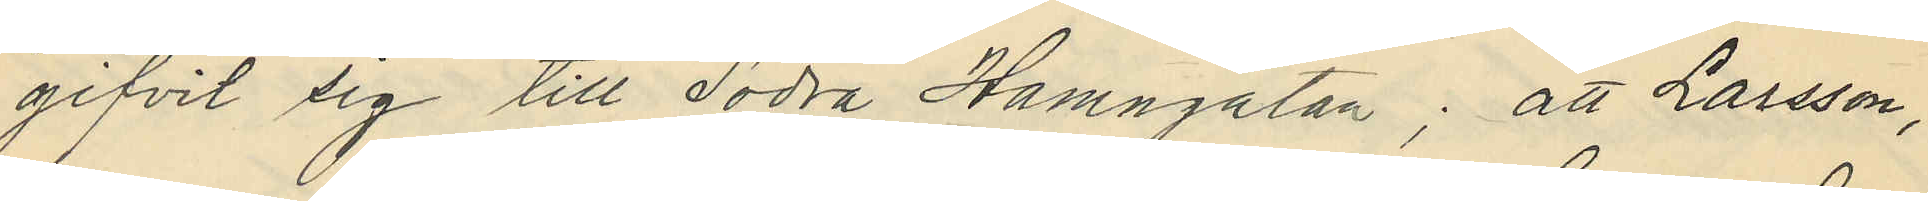gifvit sig till Södra Hamngatan; att Larsson,
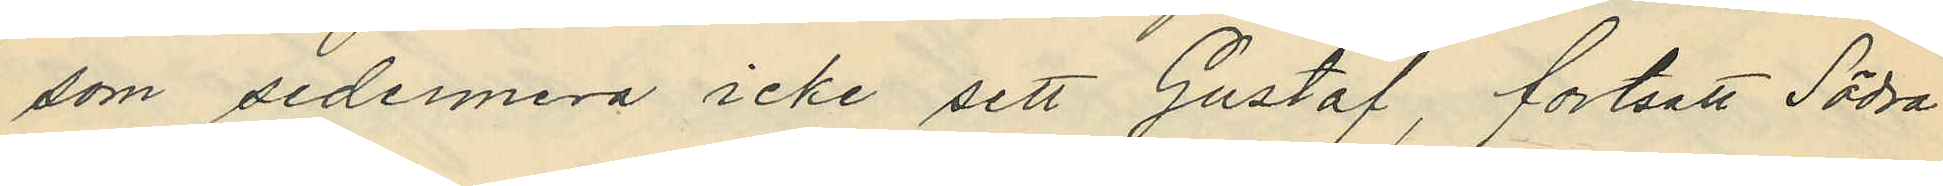som sedermera icke sett Gustaf, fortsatt Södra
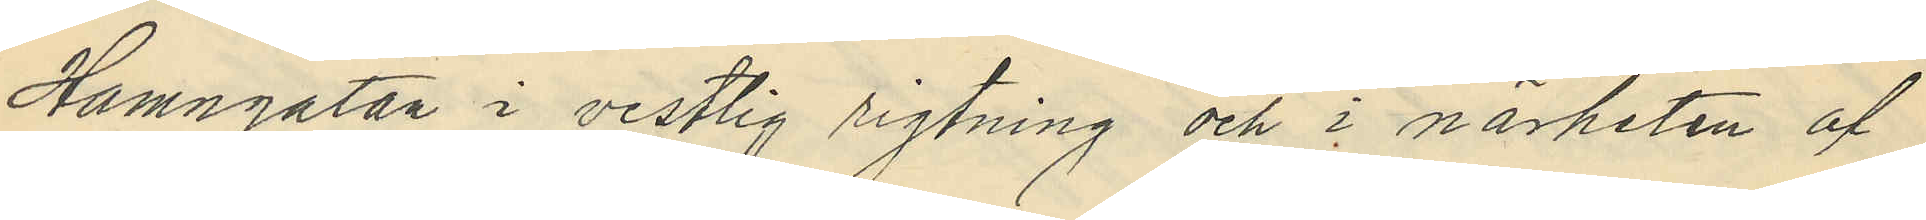Hamngatan i vestlig rigtning och i närheten af
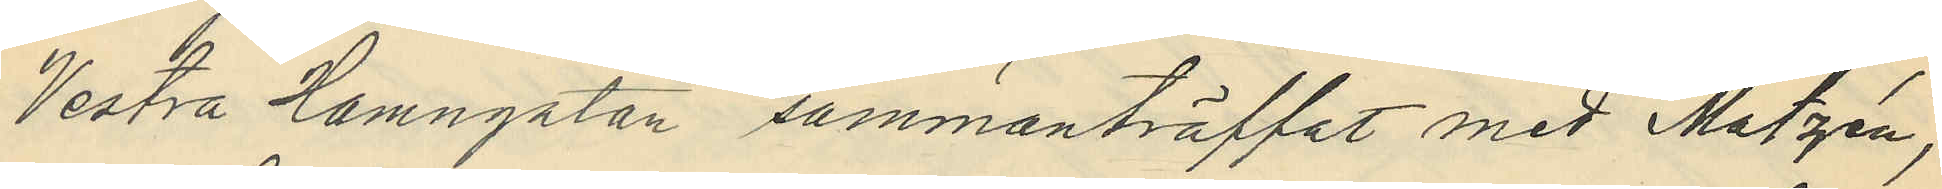Vestra Hamngatan sammanträffat med Matzén,
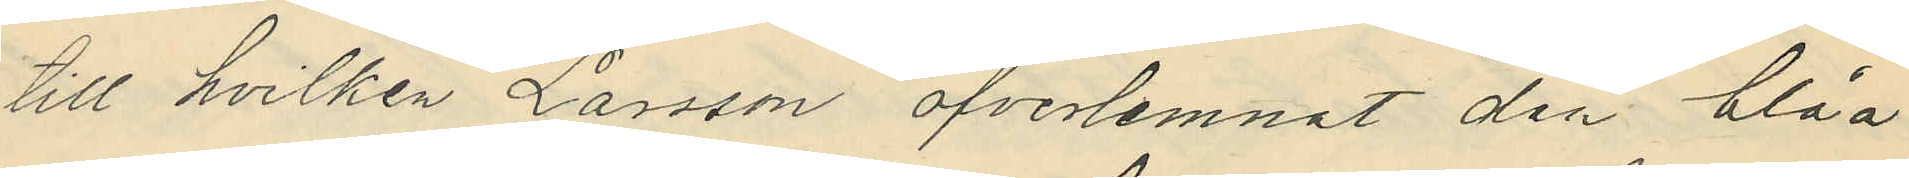till hvilken Larsson öfverlemnat den blåa
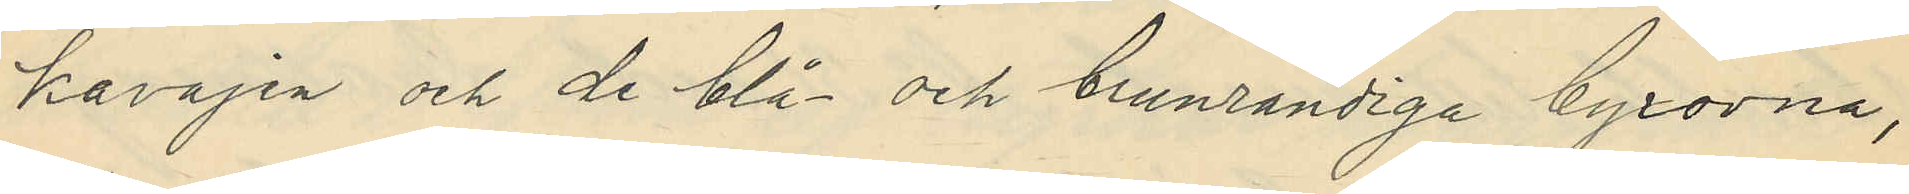kavajen och de blå och brunrandiga byxorna,
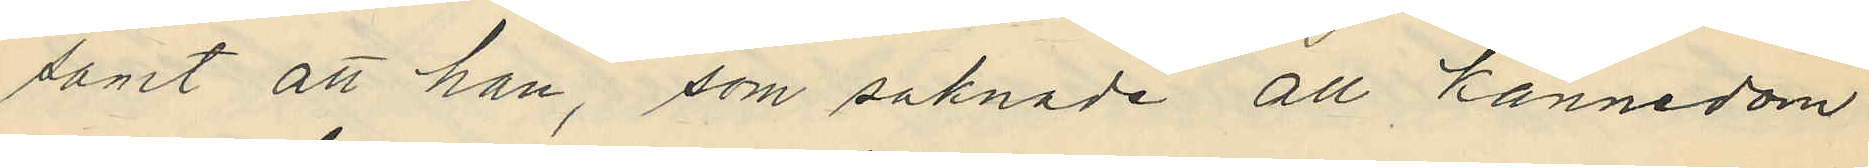samt att han, som saknade all kännedom
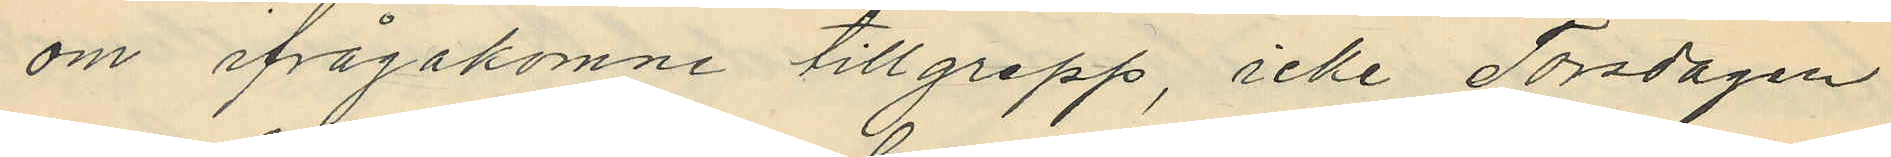om ifrågakomne tillgrepp, icke Torsdagen
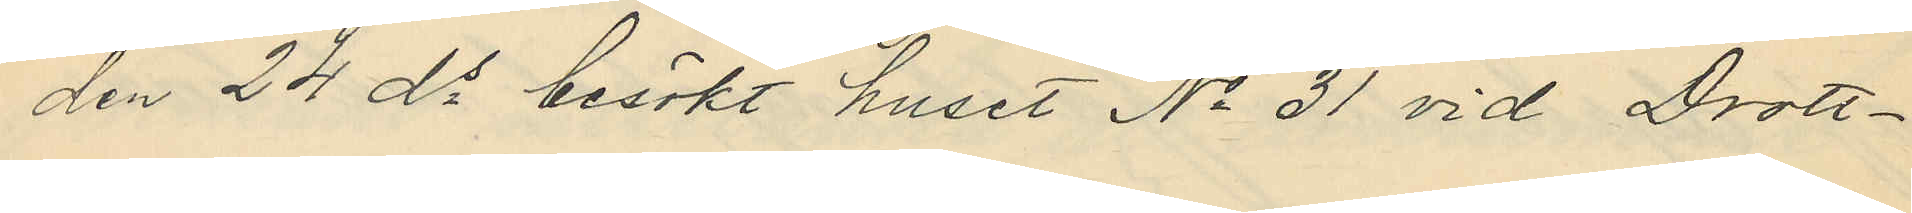den 24 ds besökt huset No 31 vid Drott¬
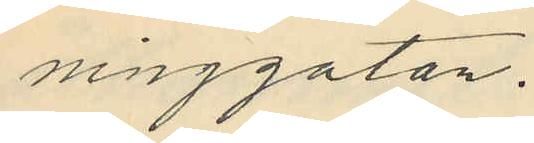ninggatan.
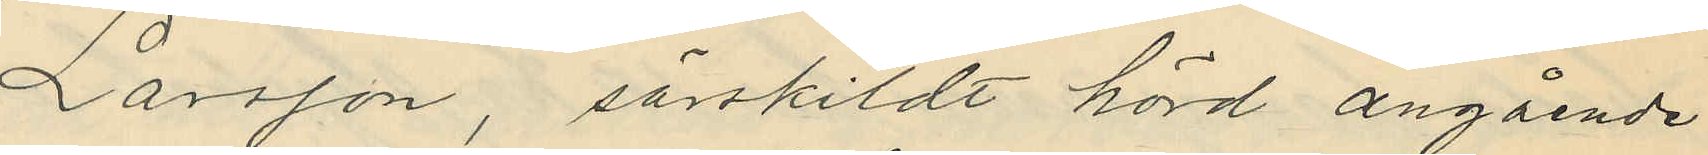Larsson, särskildt hörd angående
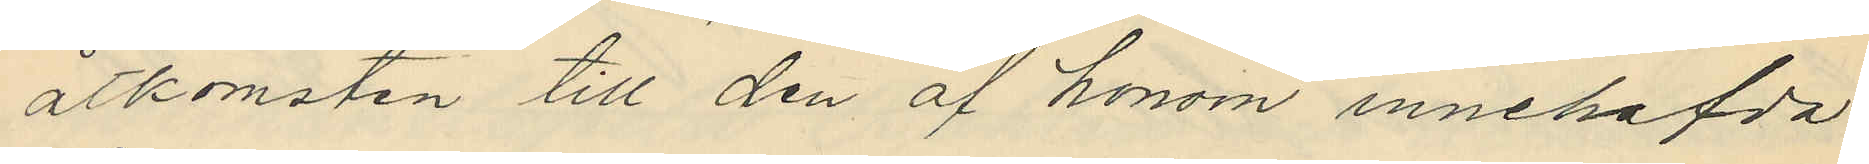åtkomsten till den af honom innehafda
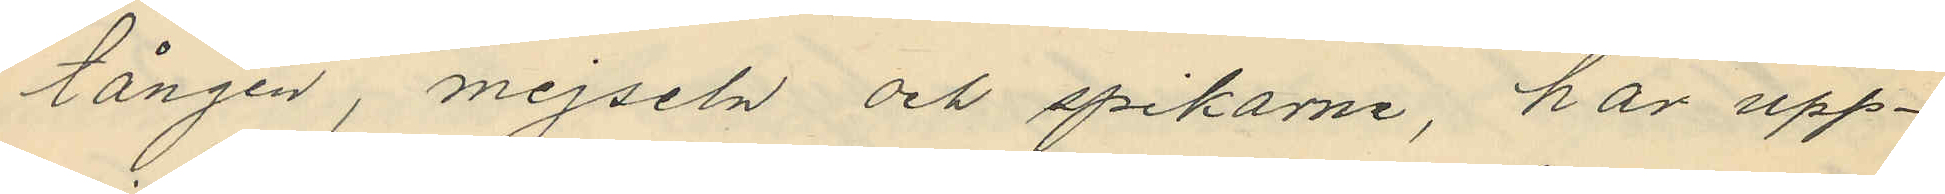tången, mejseln och spikarne, har upp¬
